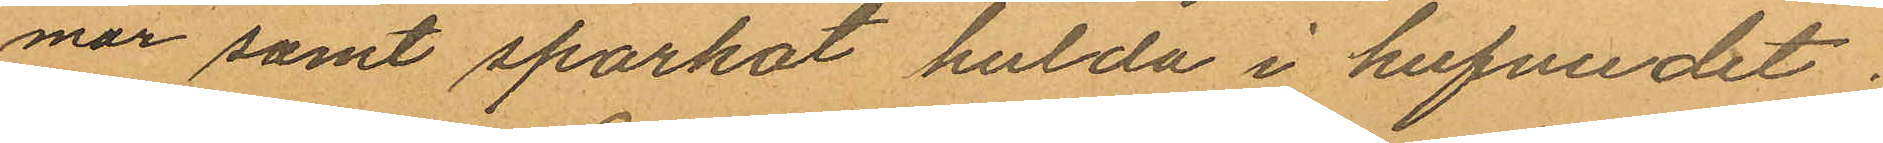mar samt sparkat hulda i hufvudet;
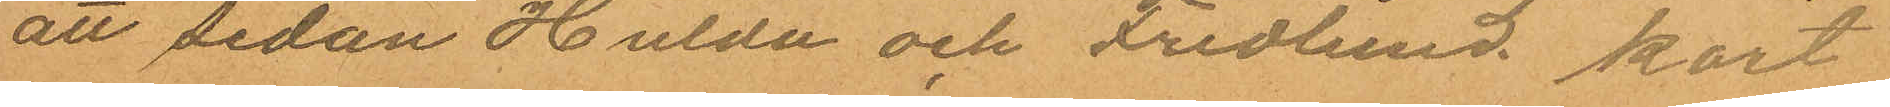att sedan Hulda och Fredlund kort
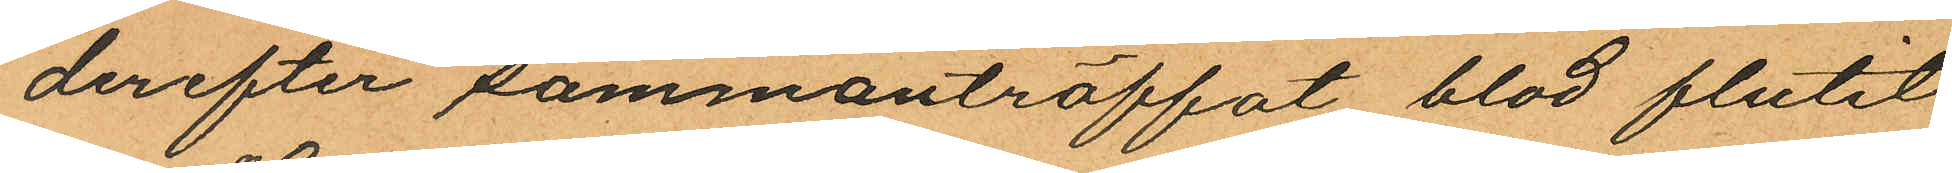derefter sammanträffat blod flutit
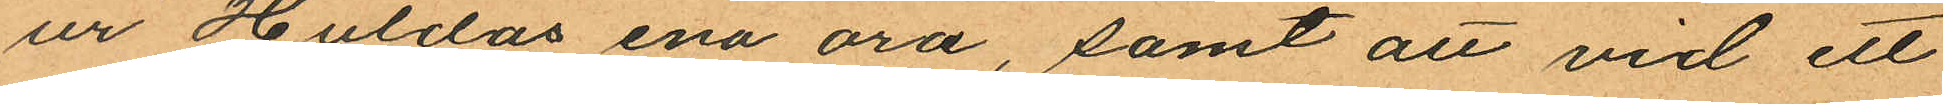ur Huldas ena öra, samt att vid ett
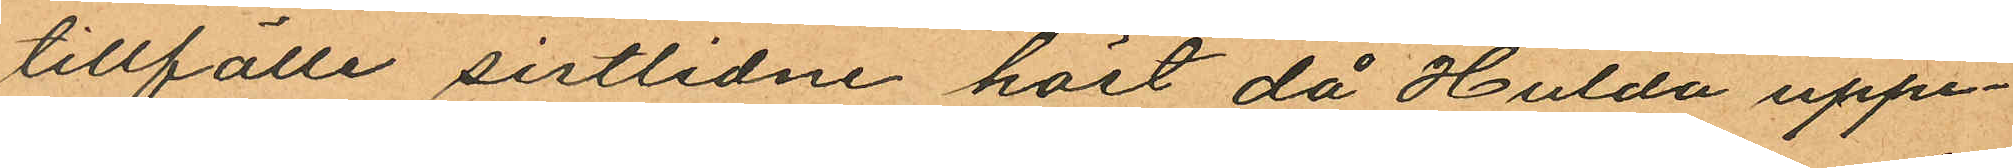tillfälle sistlidne höst då Hulda uppe¬
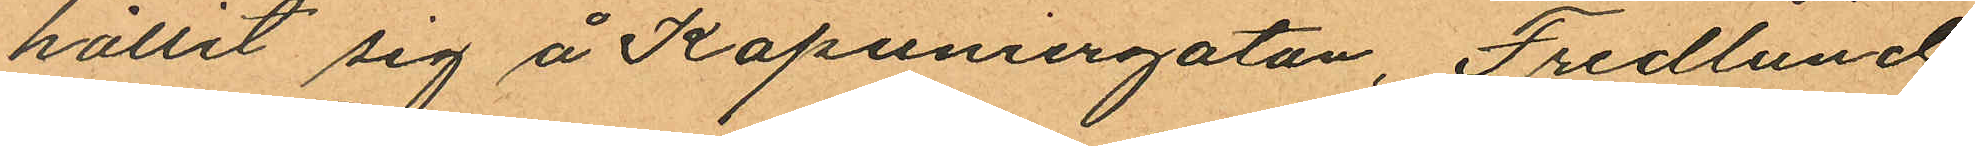hållit sig å Kapuniergatan, Fredlund
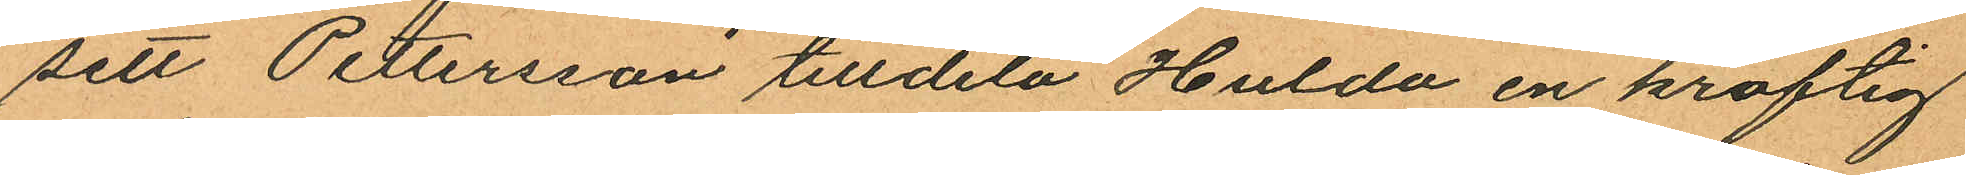sett Pettersson tilldela Hulda en kraftig
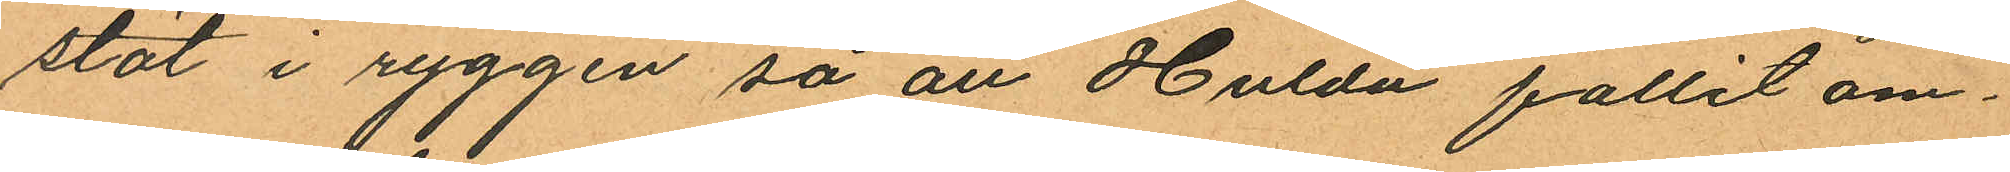stöt i ryggen så att Hulda fallit om¬
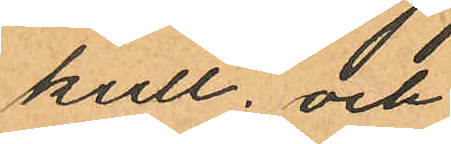kull; och
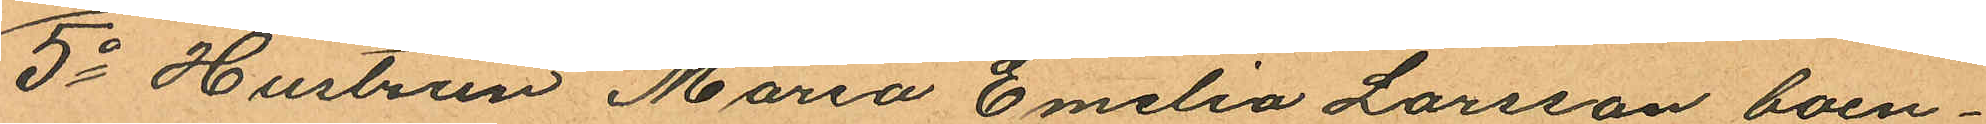5o Hustrun Maria Emelia Larsson, boen¬
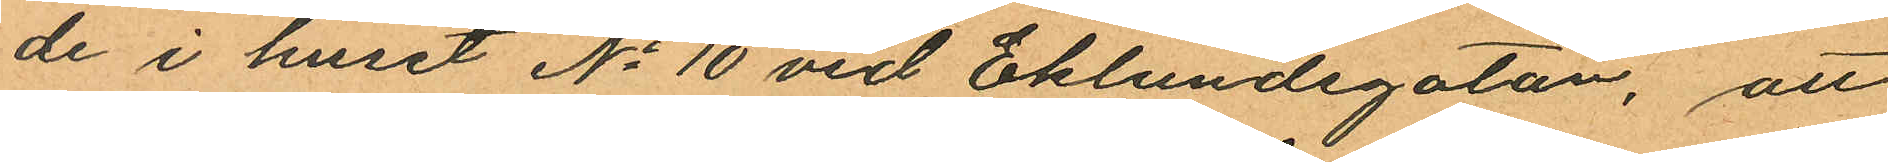de i huset No 10 vid Eklundsgatan, att
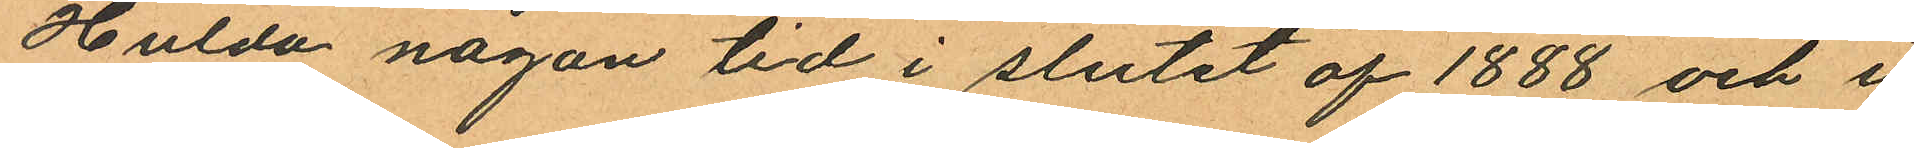Hulda någon tid i slutet af 1888 och i
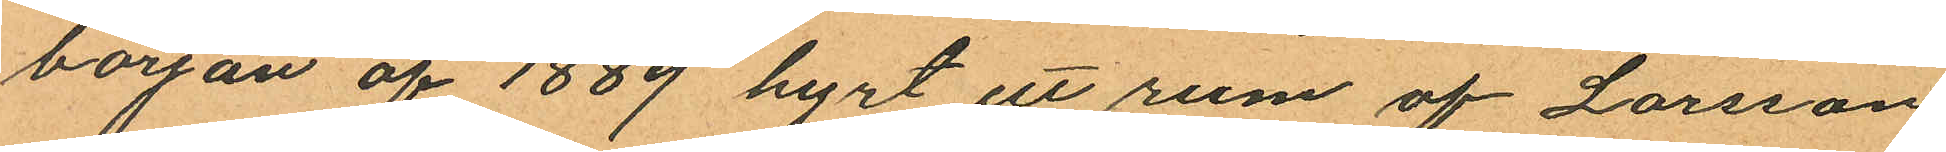början af 1889 hyrt ett rum af Larsson
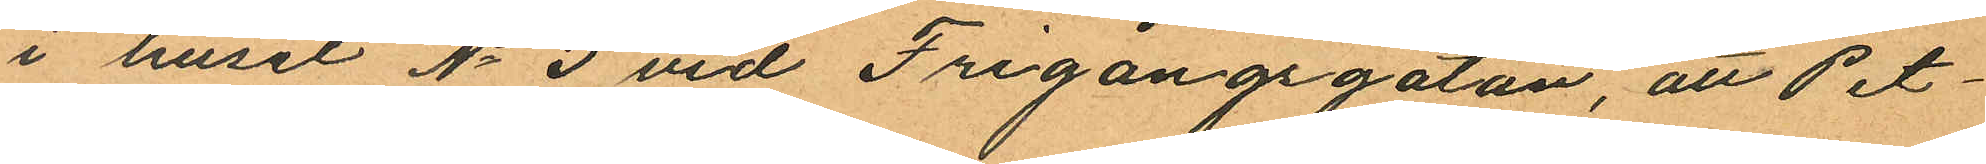i huset No 3 vid Frigångsgatan, att Pet¬
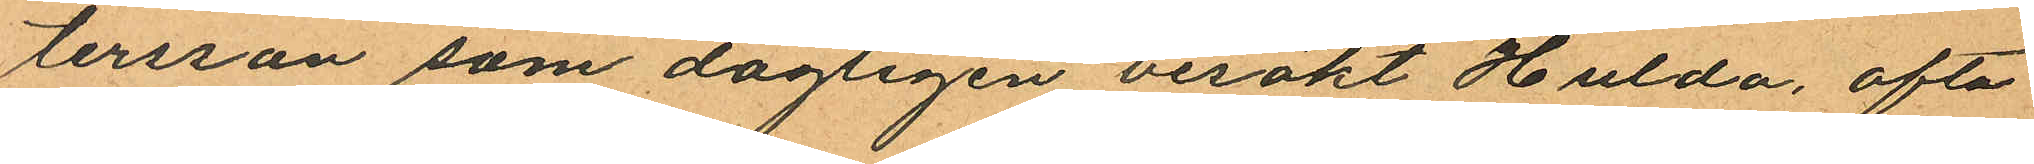tersson som dagligen besökt Hulda, ofta
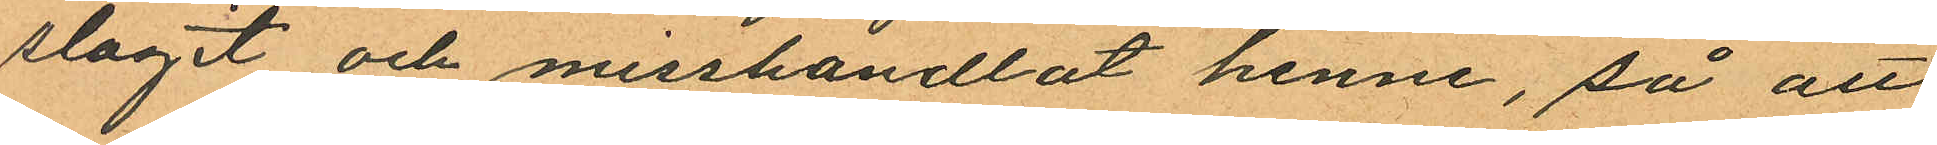slagit och misshandlat henne, så att
